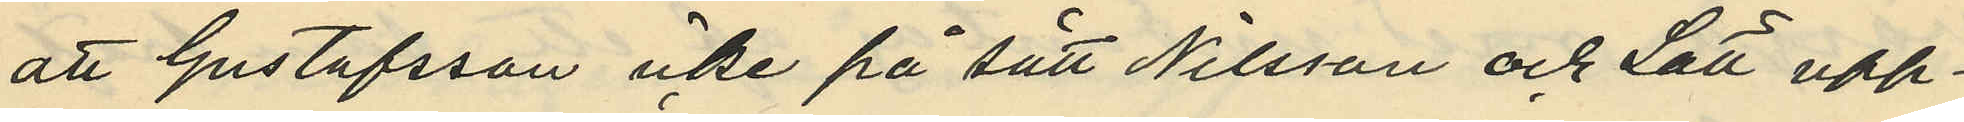att Gustafsson icke på sätt Nilsson och Lätt upp¬
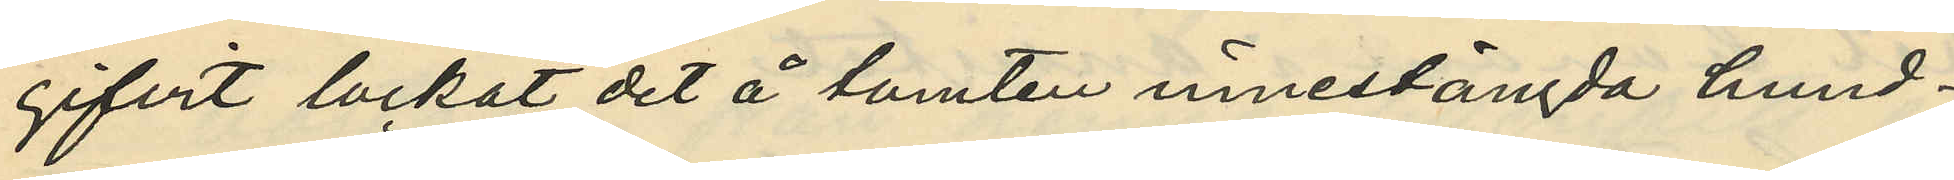gifvit lockat det å tomten innestängda hund¬
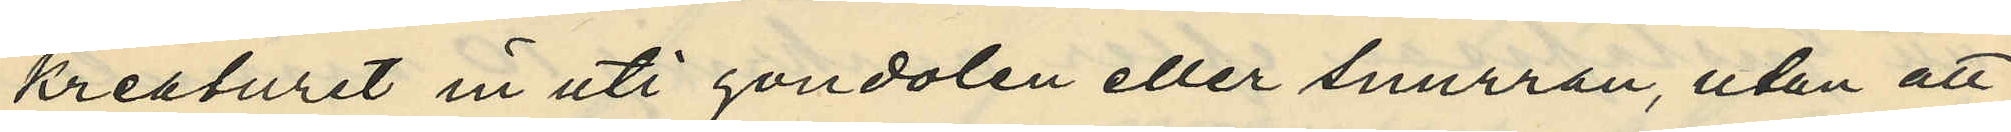kreaturet in uti gondolen eller snurran, utan att
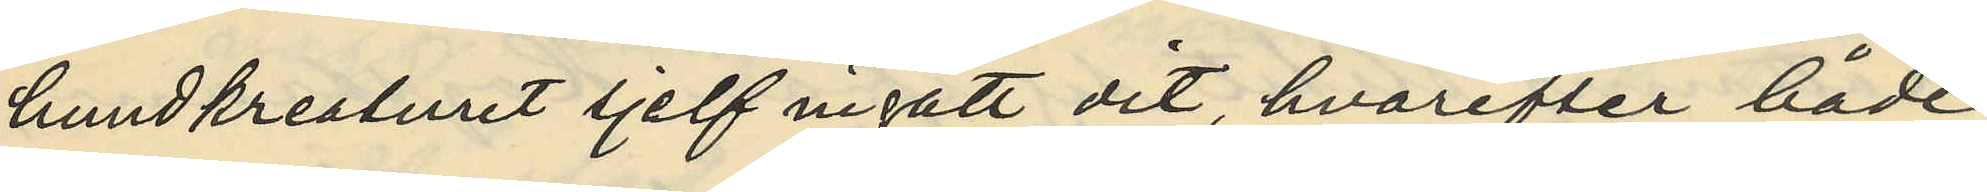hundkreaturet sjelf ingått dit, hvarefter både
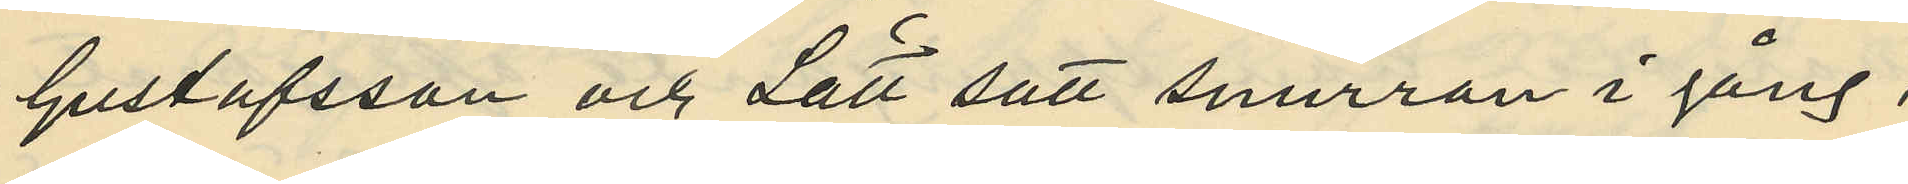Gustafsson och Lätt satt snurran i gång,
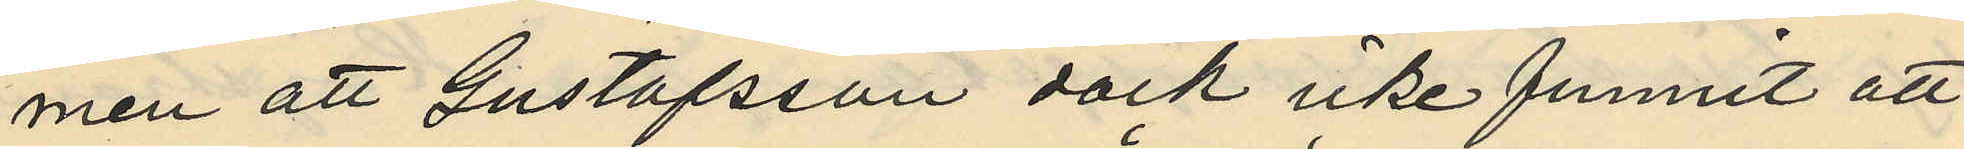men att Gustafsson dock icke funnit att
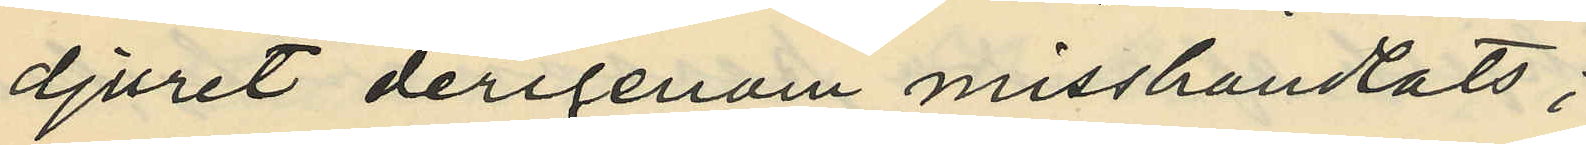djuret derigenom misshandlats;
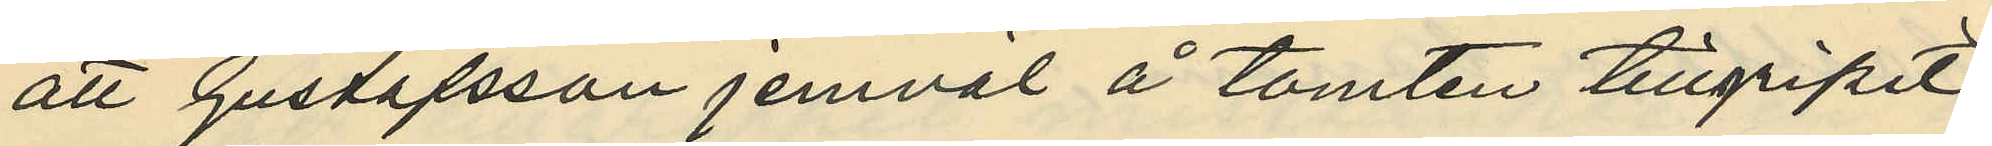att Gustafsson jemväl å tomten tillgripit
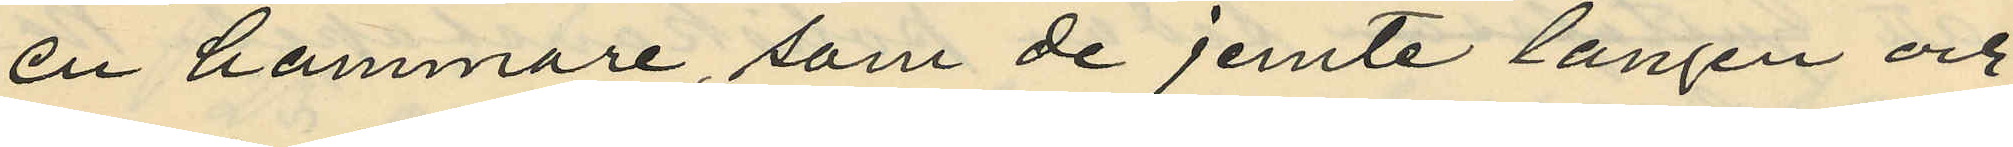en hammare, som de jemte tången och
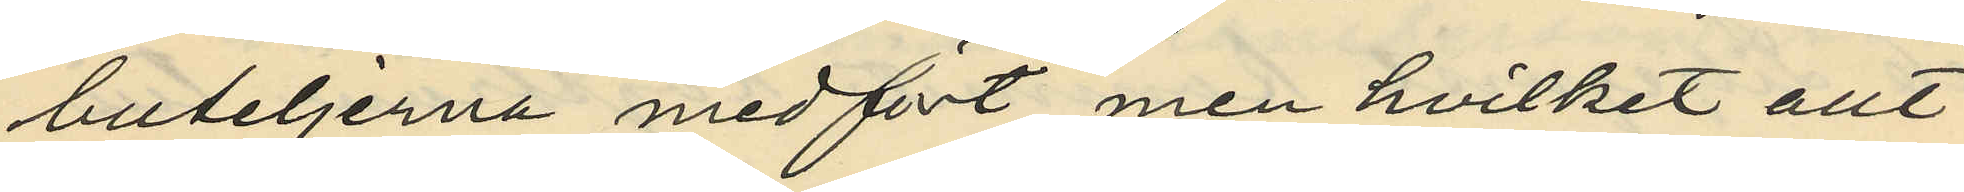buteljerna medfört, men hvilket allt
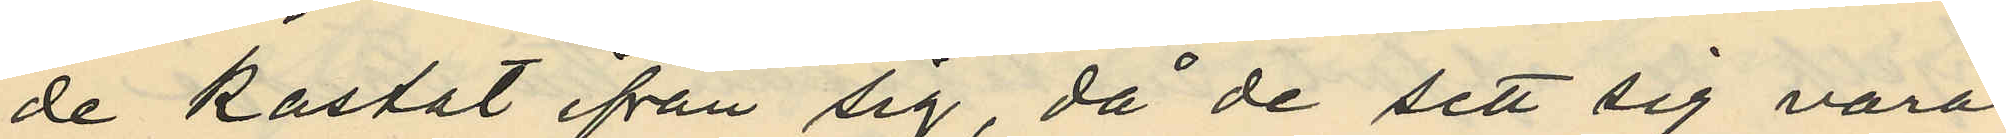de kastat ifrån sig, då de sett sig vara
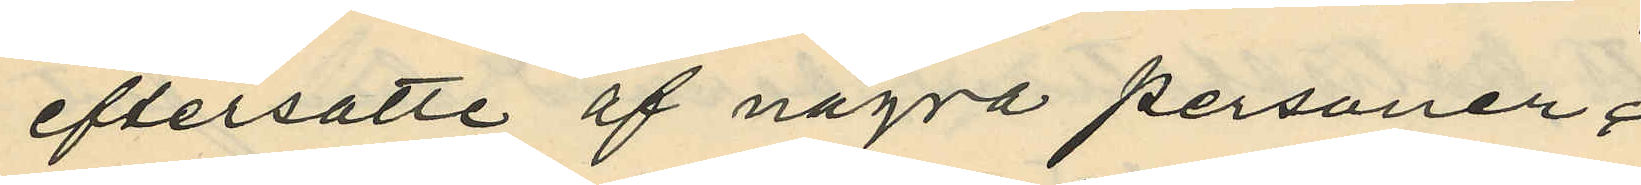eftersatte af några personer;
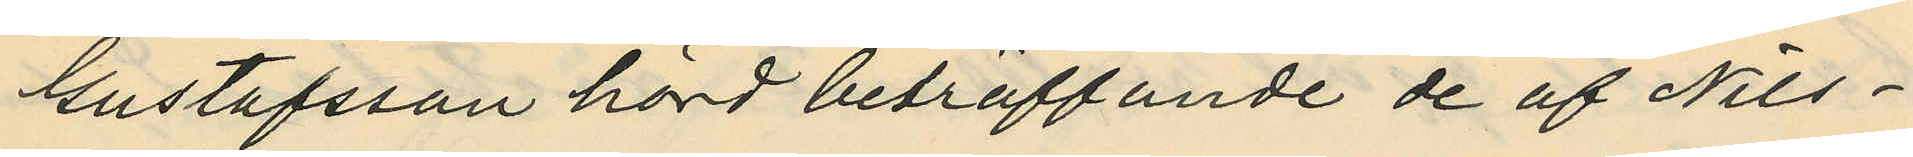Gustafsson hörd beträffande de af Nils¬
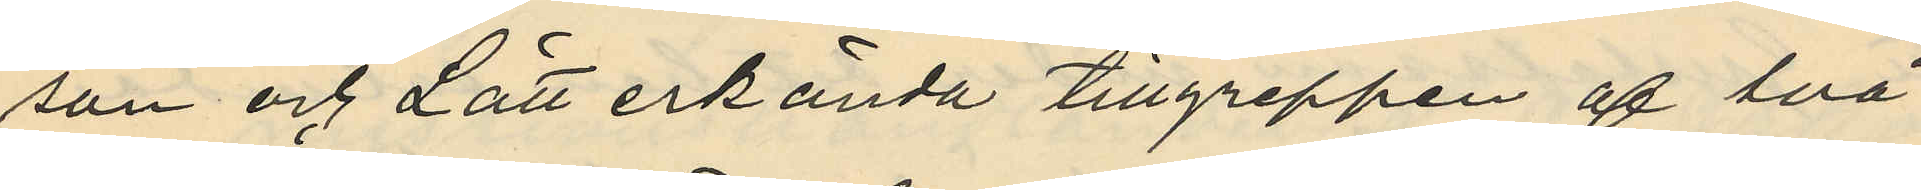son och Lätt erkända tillgreppen af två
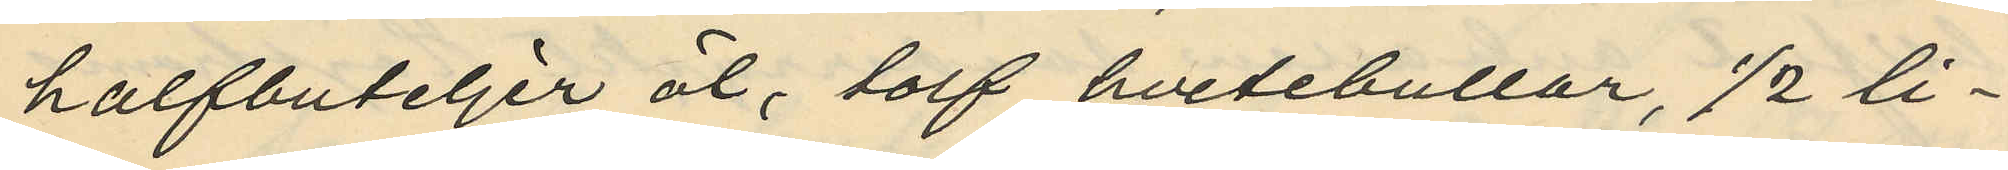halfbuteljer öl, tolf hvetebullar, 1/2 li¬
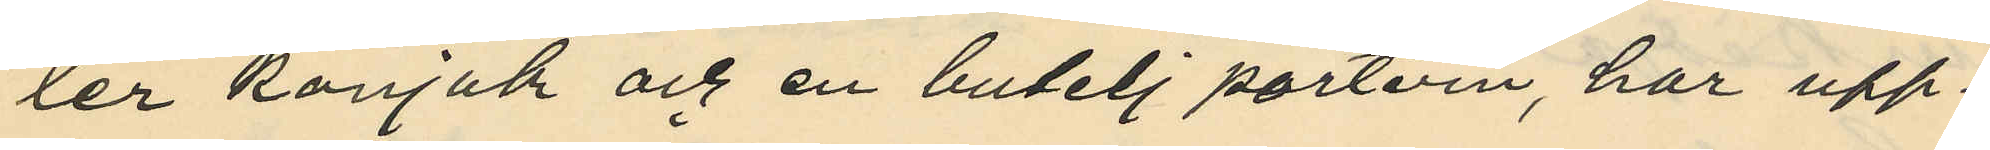ter konjak och en butelj portvin, har upp¬
